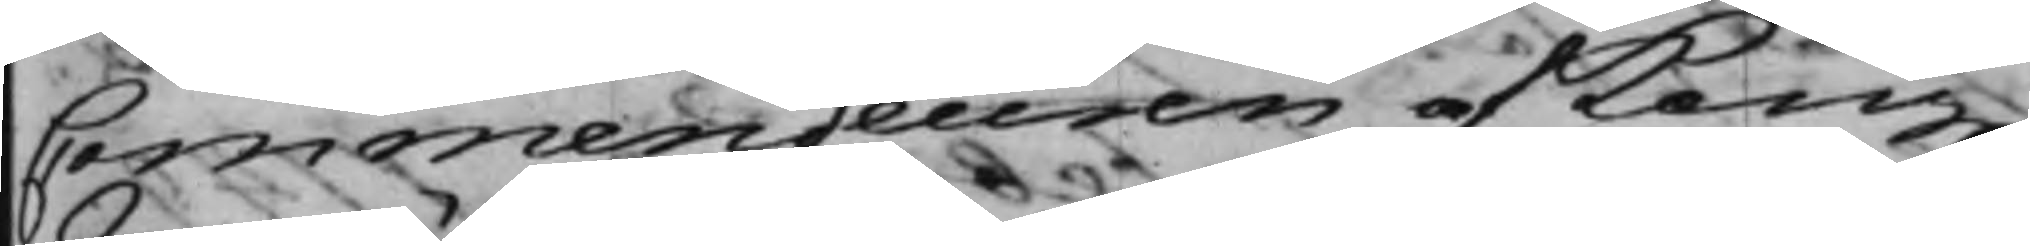Commendeuren af Kong.
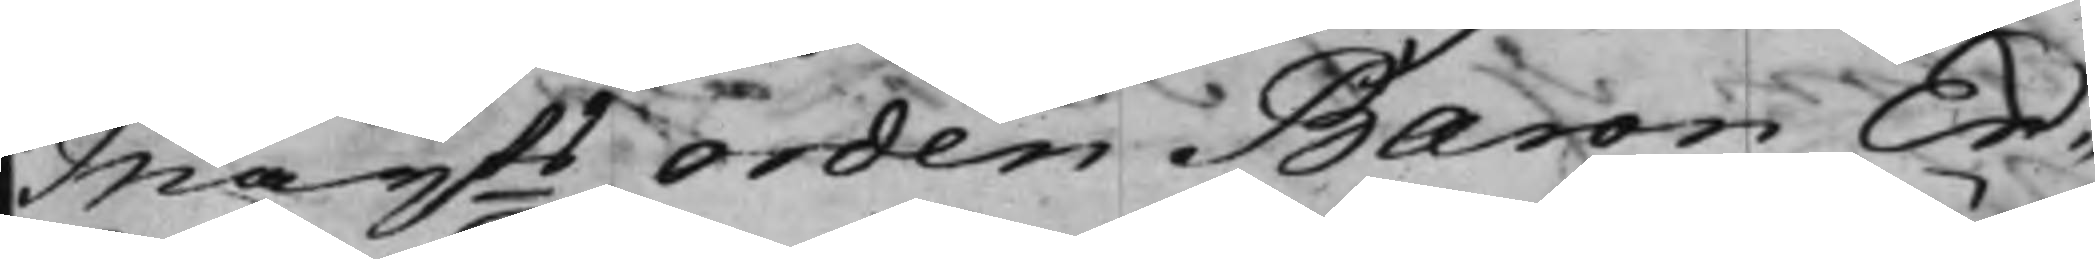Maijts Orden Baron Er¬
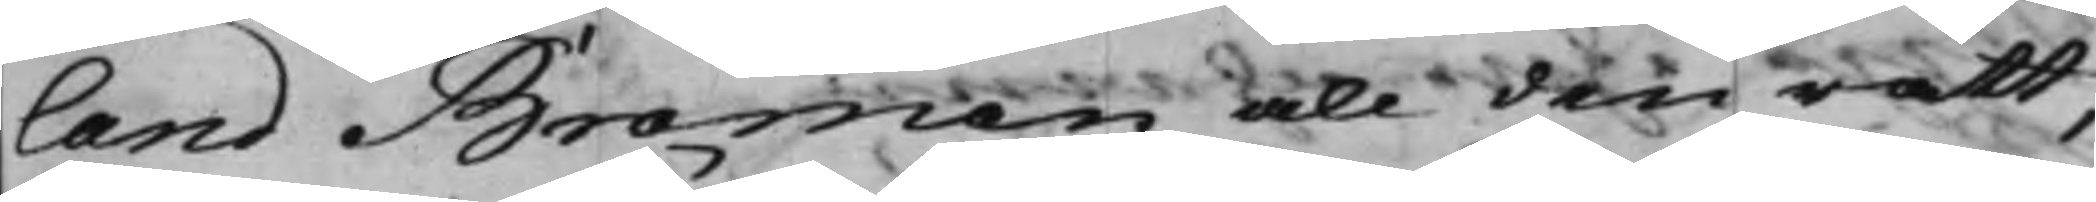land Broman all den rätt,
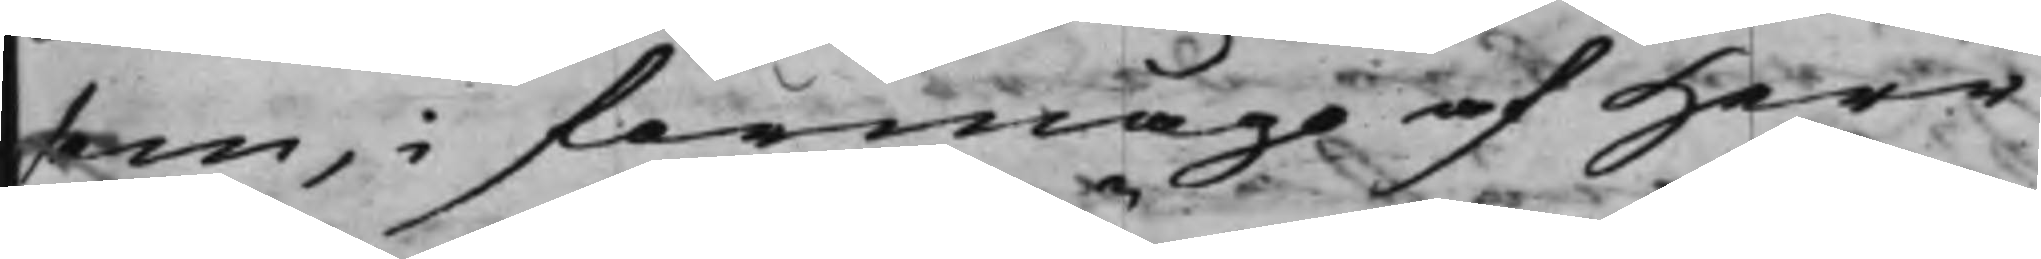som, i förmågo af Herr
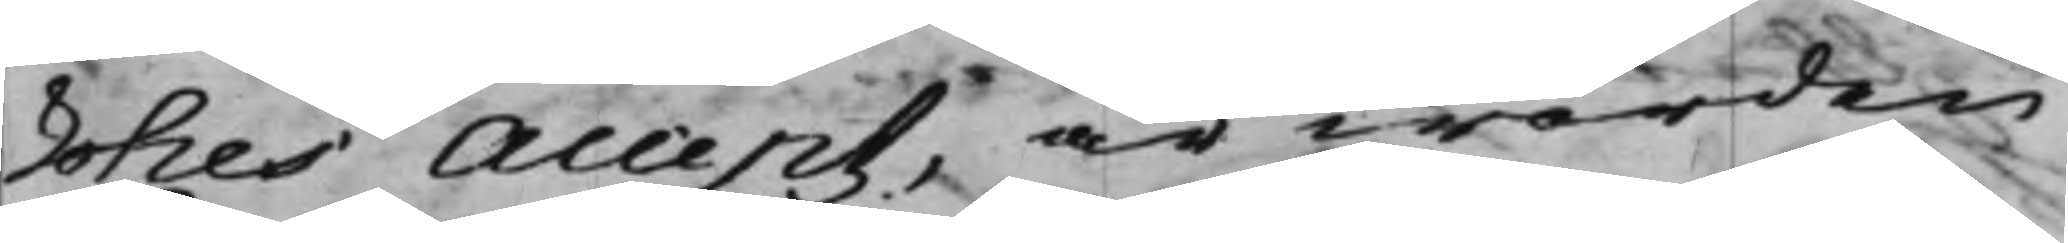Lohes Accept, är worden
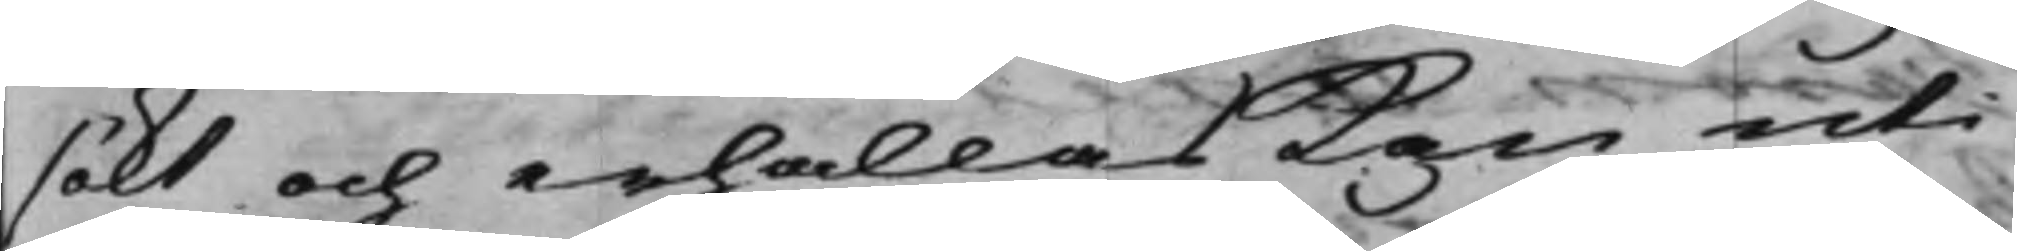sökt och erhållas kan uti
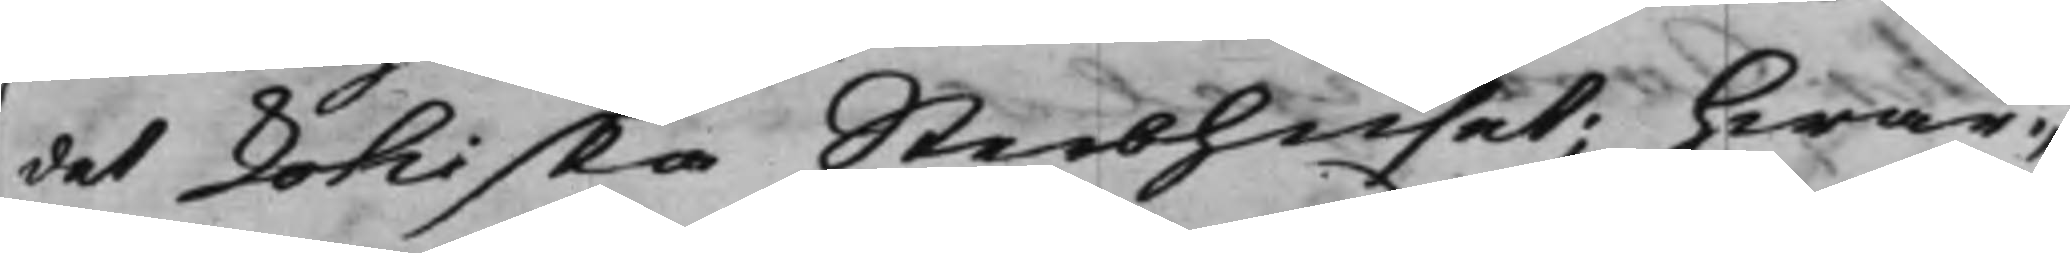det Lohiska Sterbhuset; hwar¬
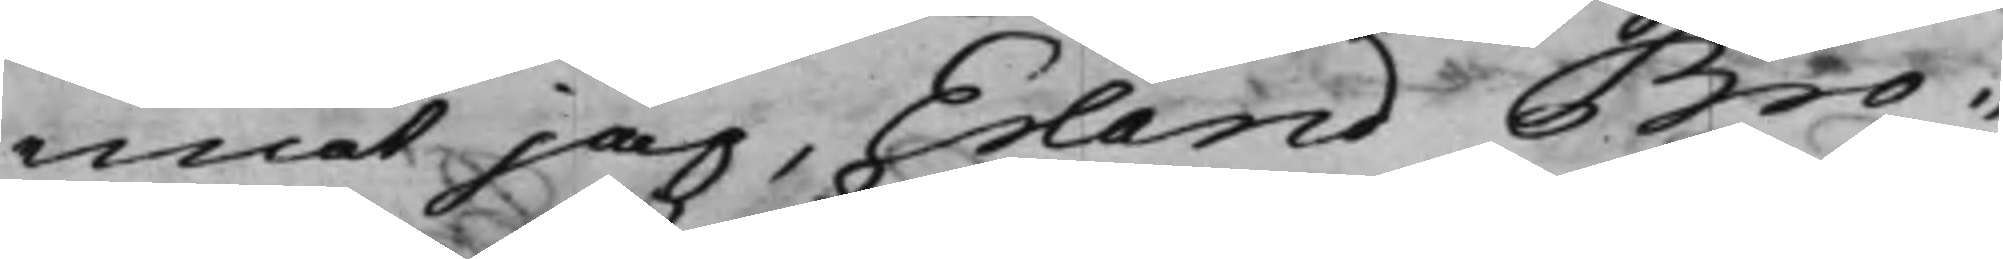emot jag, Erland Bro¬
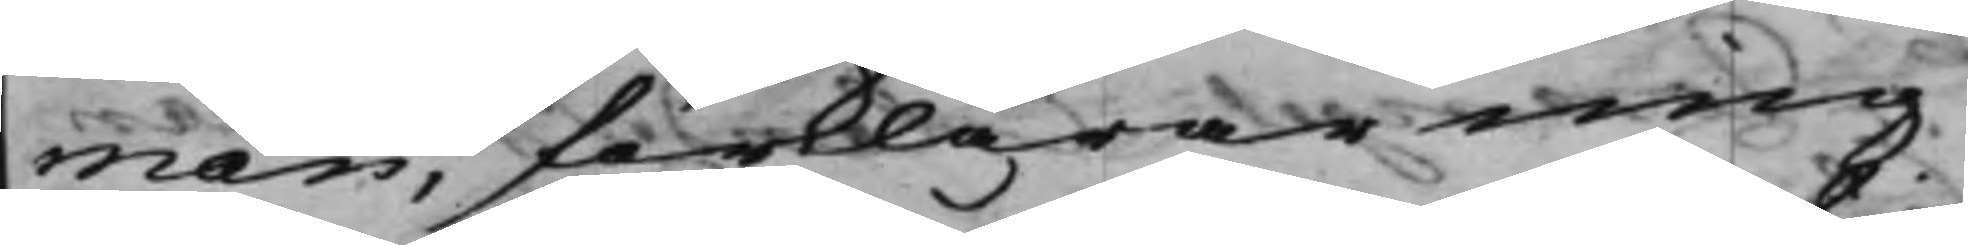man, förklarar mig
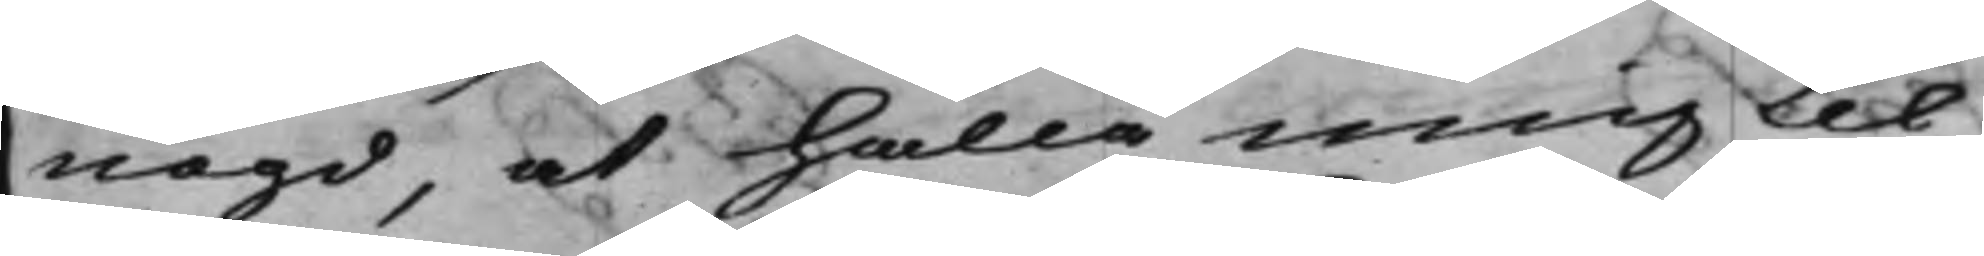nögd, at hålla mig til
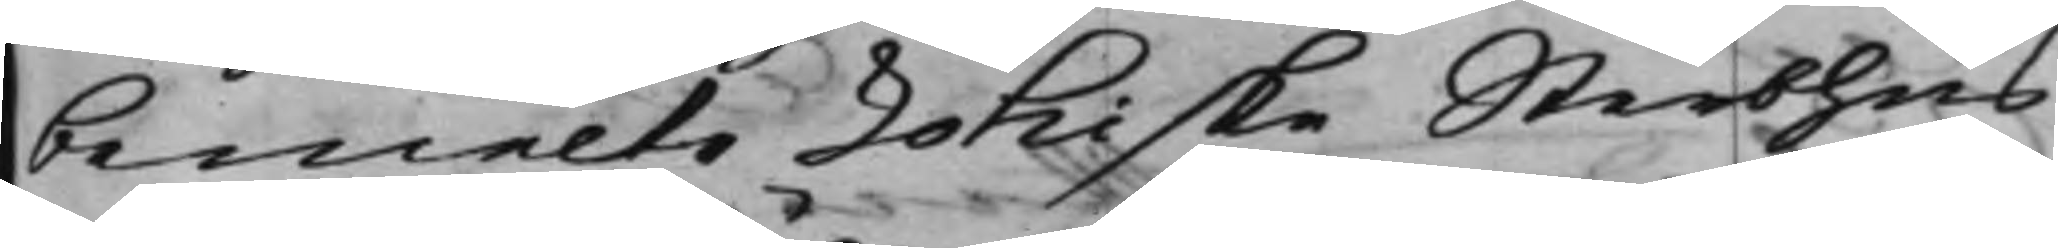bemelte Lohiske Sterbhus,
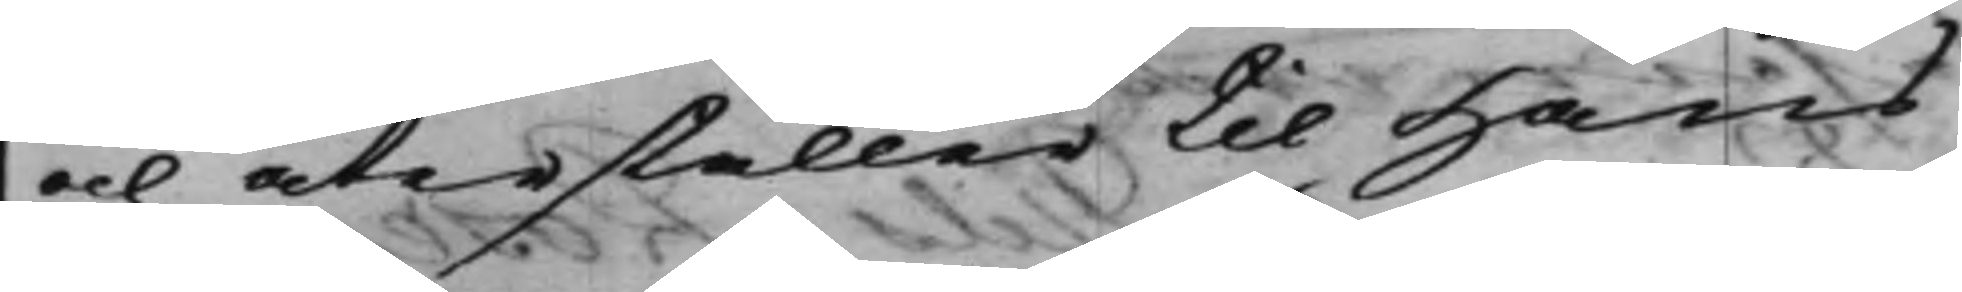och återställer til Hans
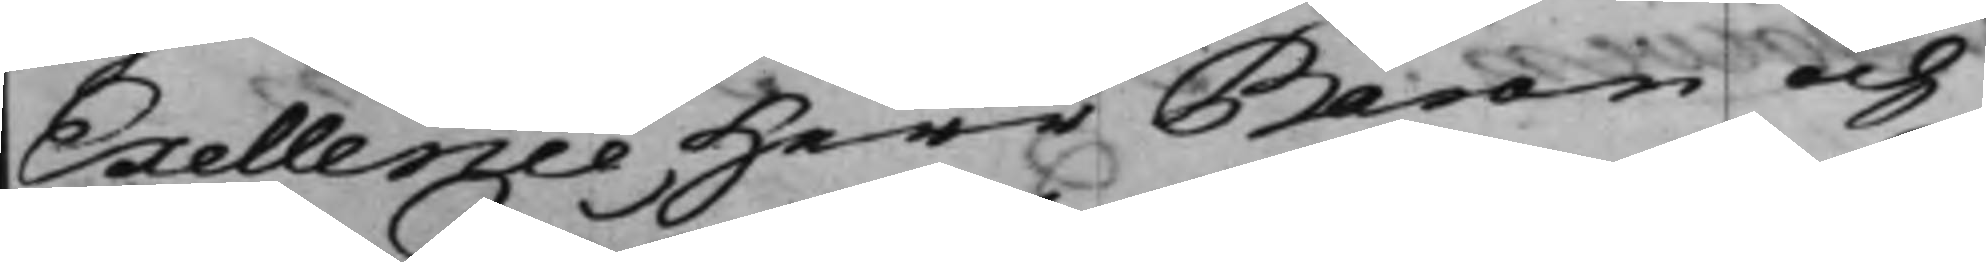Exellence Herr Baron och
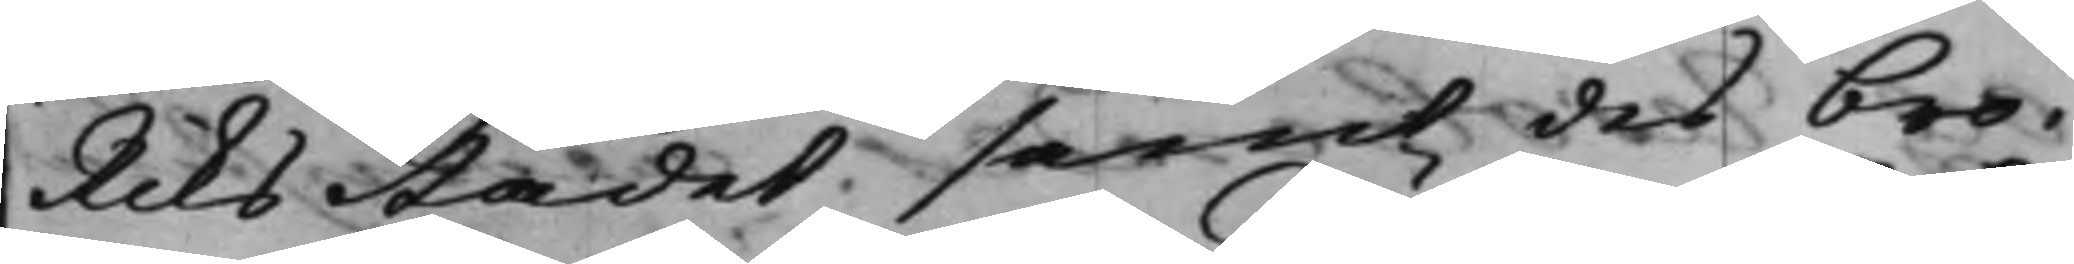RiksRådet samt des bro¬
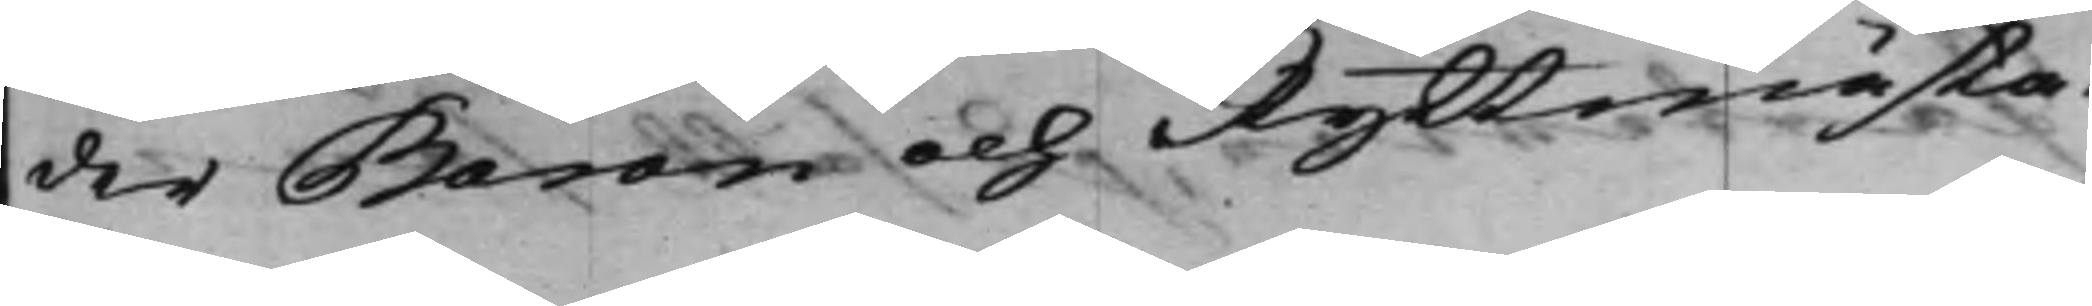der Baron och Ryttmästa¬
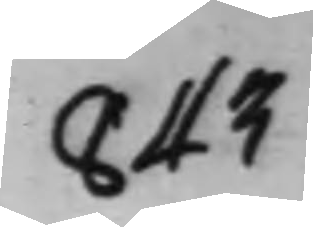843
